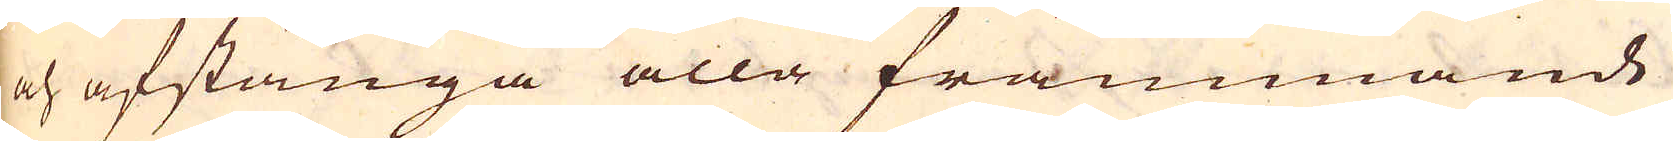och afstänga alla främmande
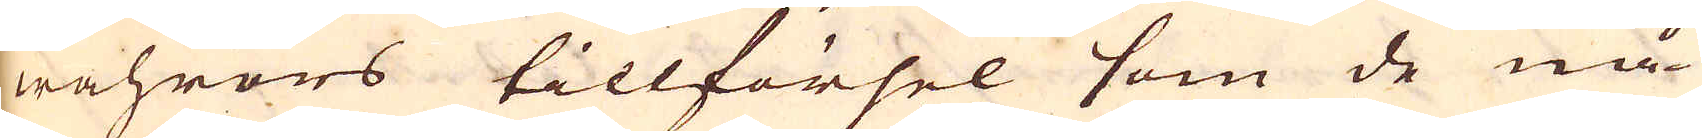wahrors tillförsel som de nå-
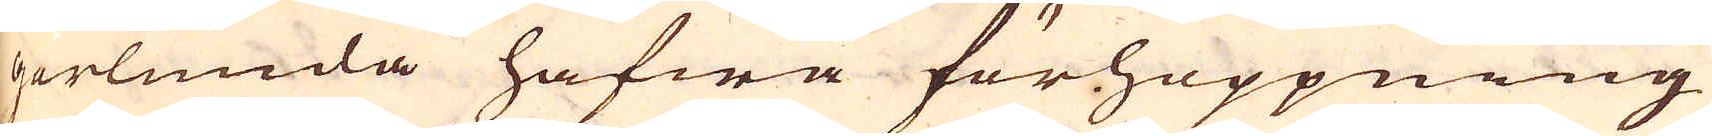gorlunda hafwa förhoppning
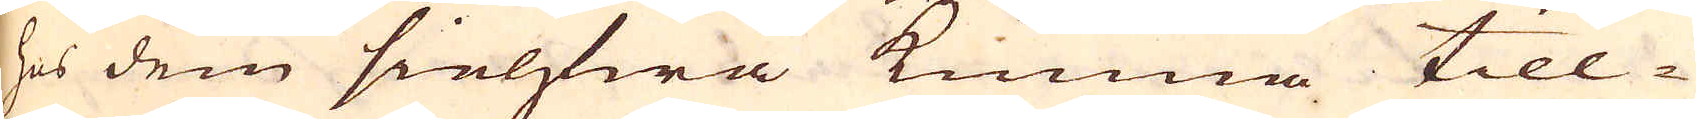hos dem sielfwa kunna till-
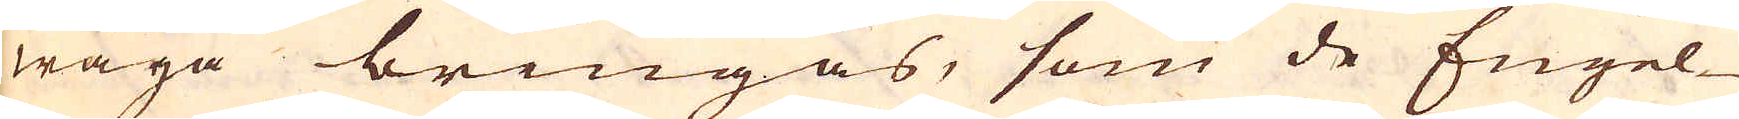wäga bringas, som de Engel-
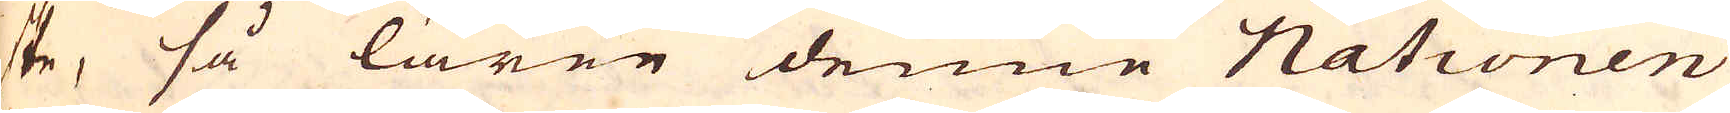ske, så lärer denne Nationen
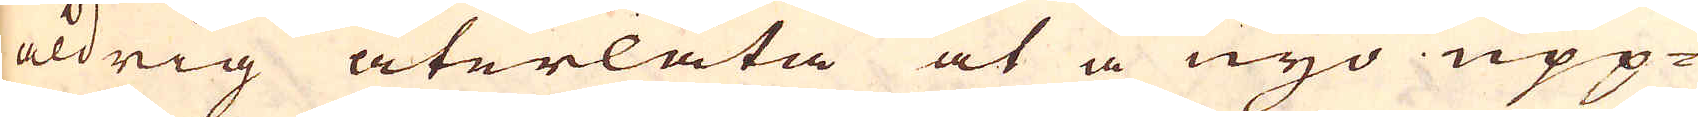aldrig återlåta at å nyo upp-
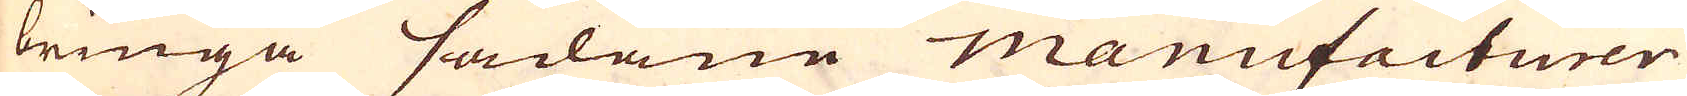bringa sådane mmanufacturer
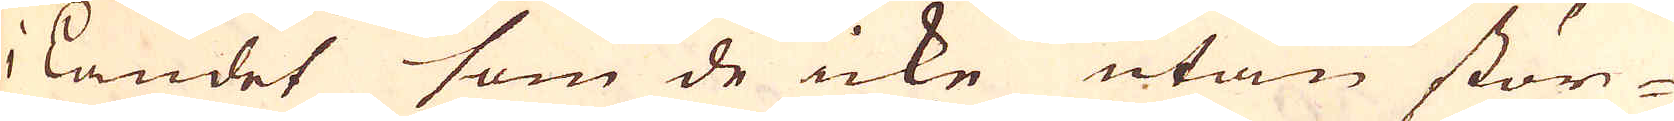i Landet som de icke utan stör-
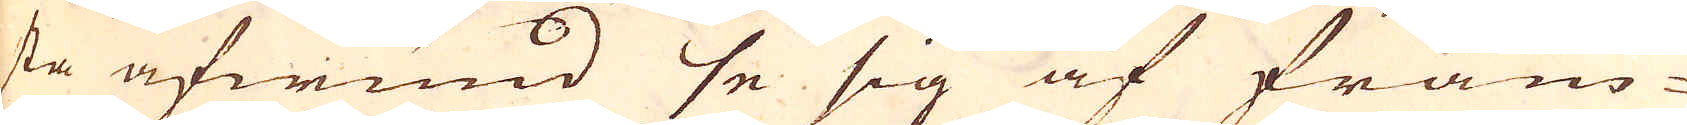sta afwund se sig af främ-
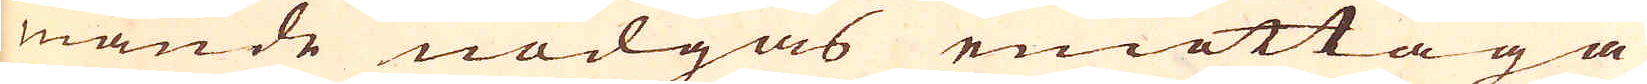mande nödgas emottaga
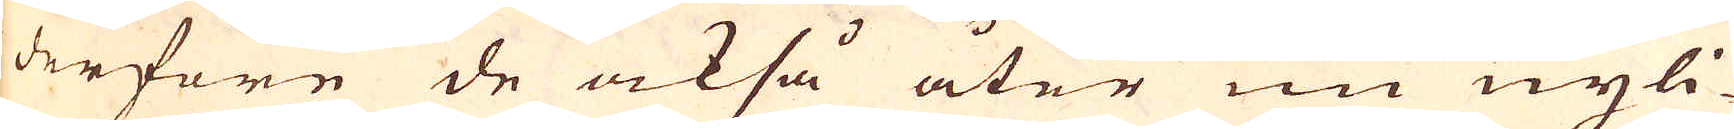derföre de också åter nu nyli-
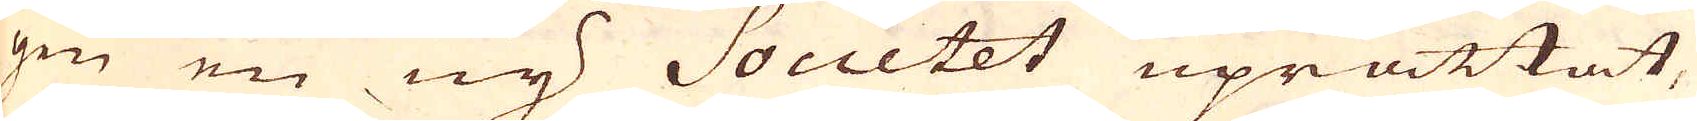gen en ny Societet uprättat,
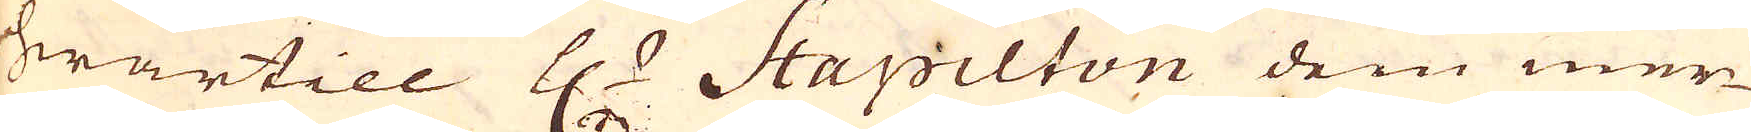hwartill H:r Hapilton dem mer-
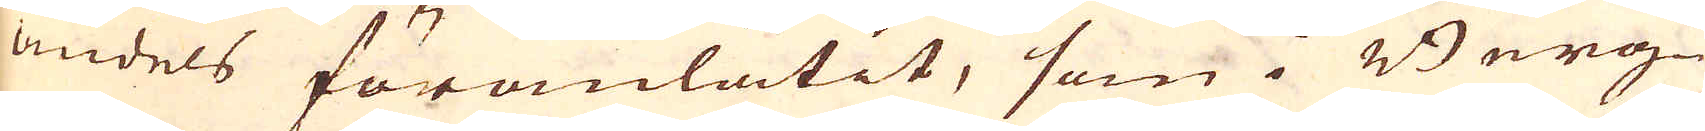ändels föranlåtit, som i Berg-
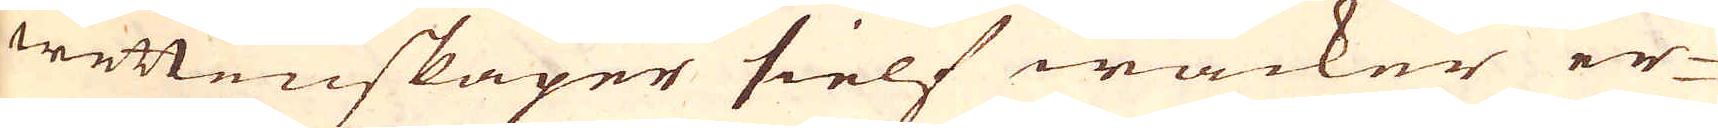wettenskaper sielf wacker er-
